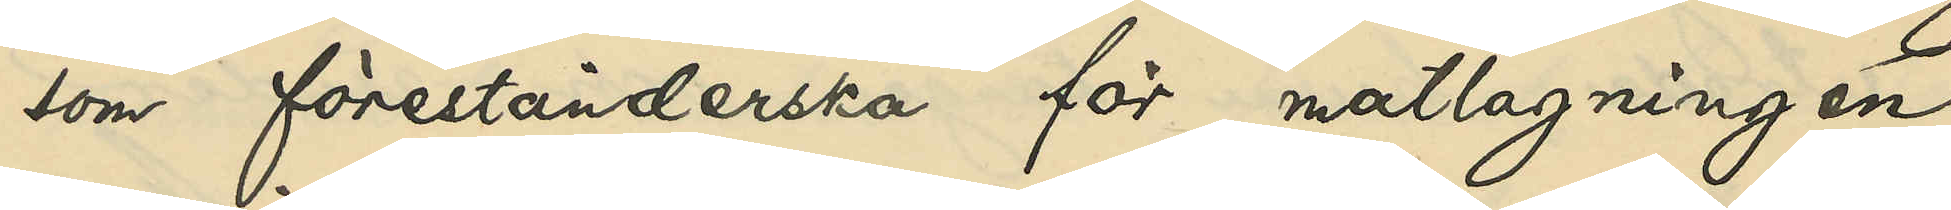som förestånderska för matlagningen
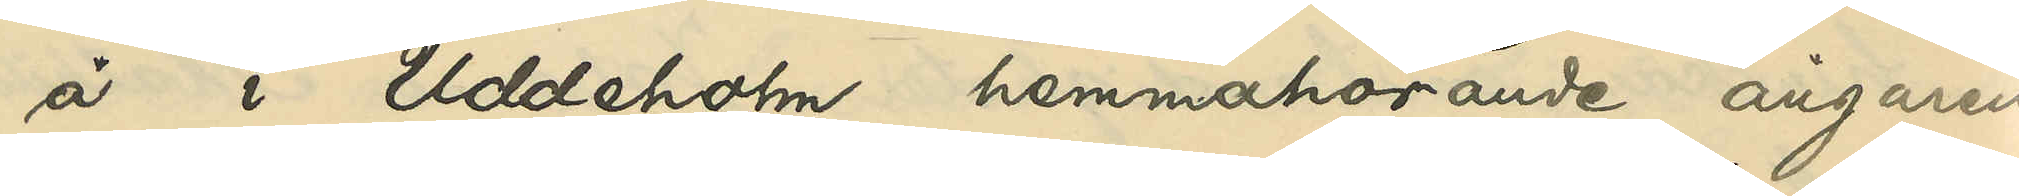å i Uddeholm hemmahörande ångaren
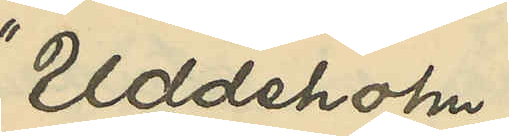"Uddeholm"
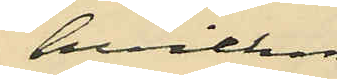hvilken
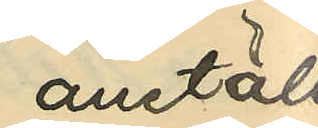anställ¬
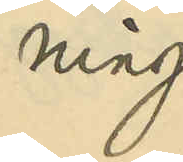ning
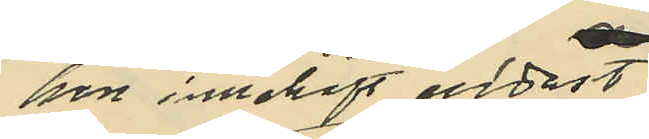hon innehaft endast
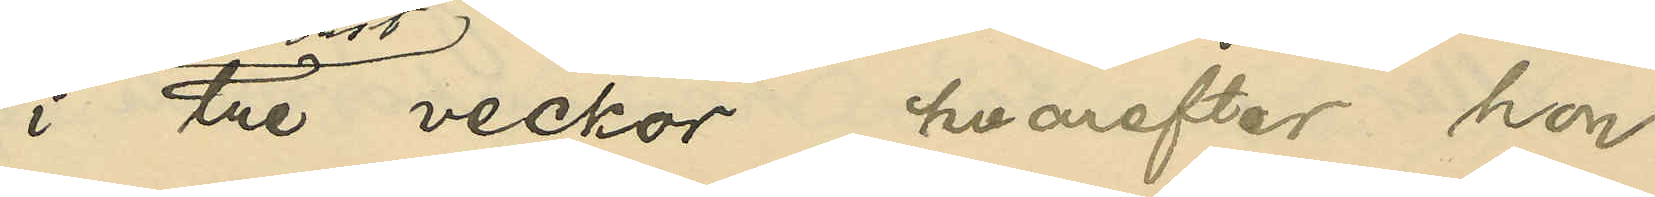i tre veckor, hvarefter hon
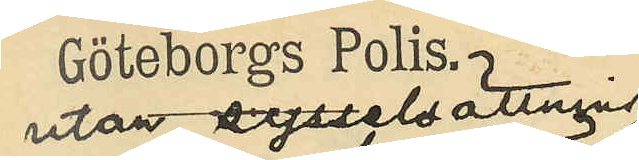utan sysselsättning
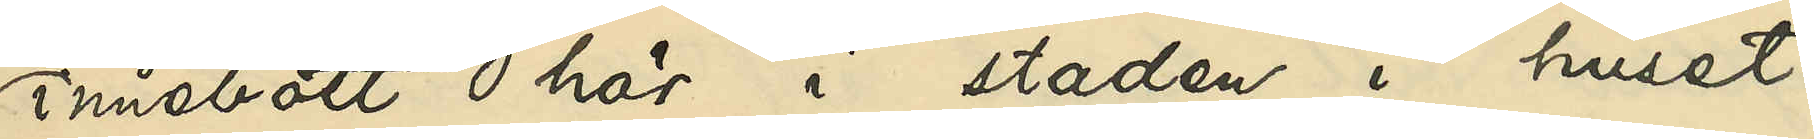innebott här i staden i huset
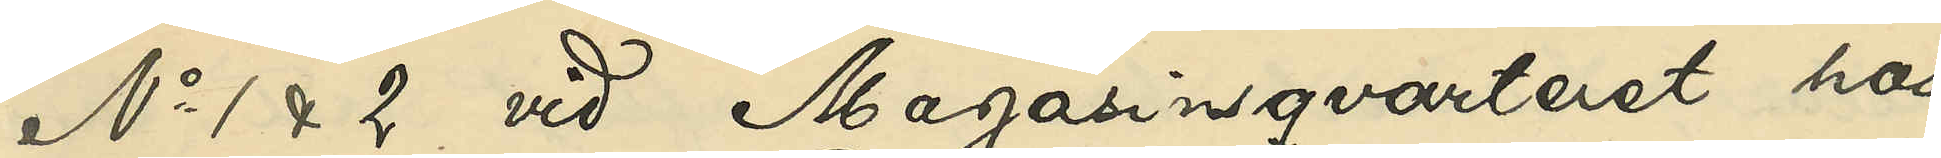No 1 & 2 vid Magasinsgatan hos
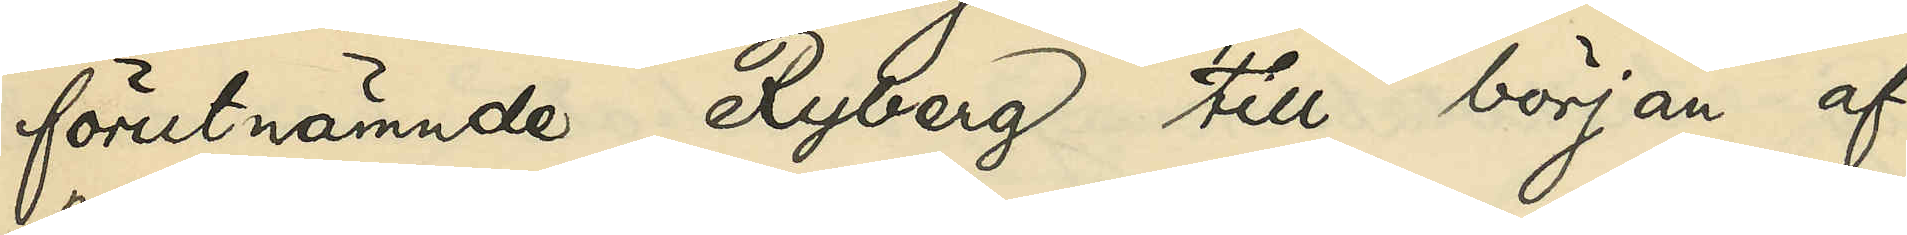förutnämnde Ryberg till början af
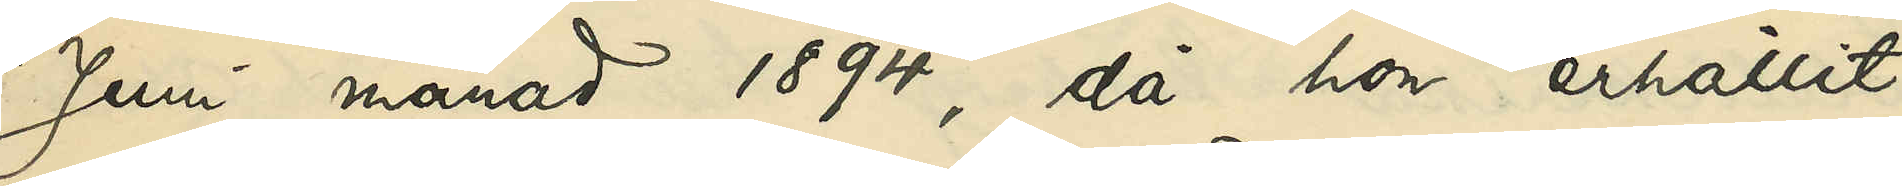Juni månad 1894, då hon erhållit
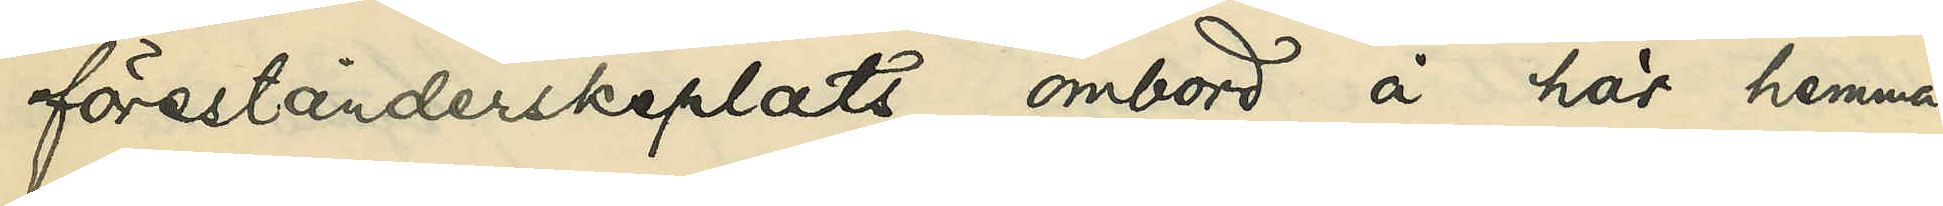förestånderskeplats ombord å här hemma¬
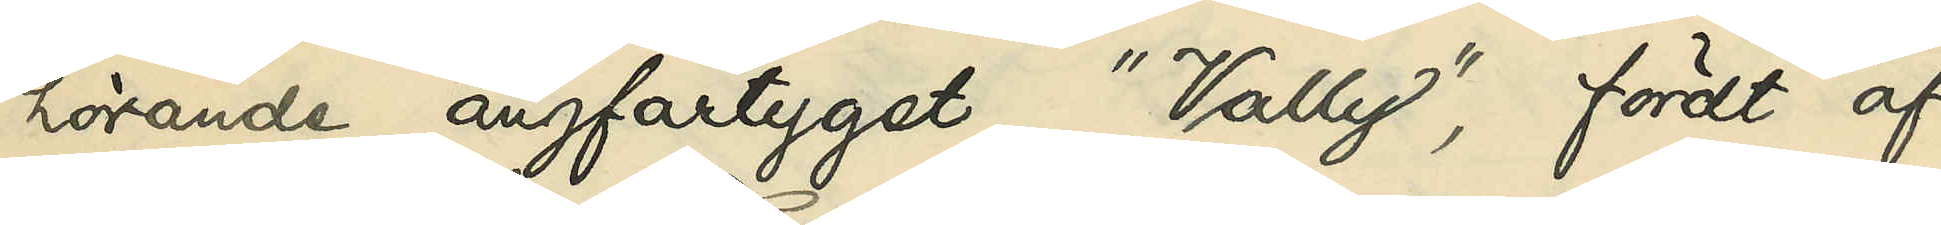hörande ångfartyget "Vally", fördt af
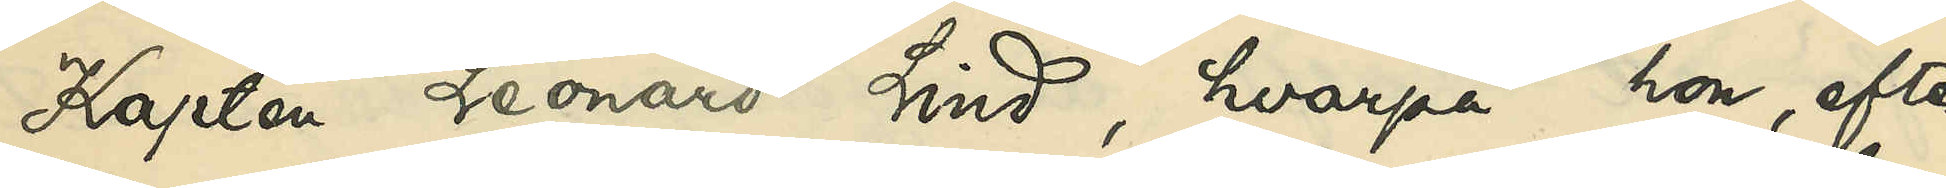Kapten Leonard Lind, hvarpå hon, efter
